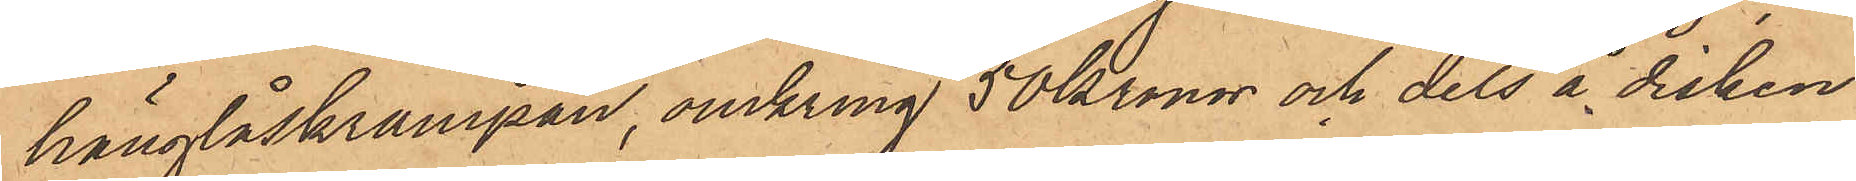hänglåskrampan, omkring 50 Kronor och dels å disken
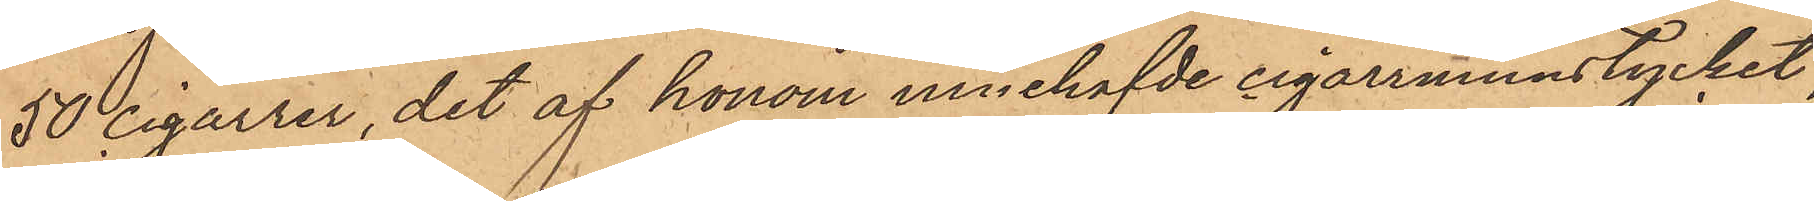50 cigarrer, det af honom innehafvde cigarrmunstycket,
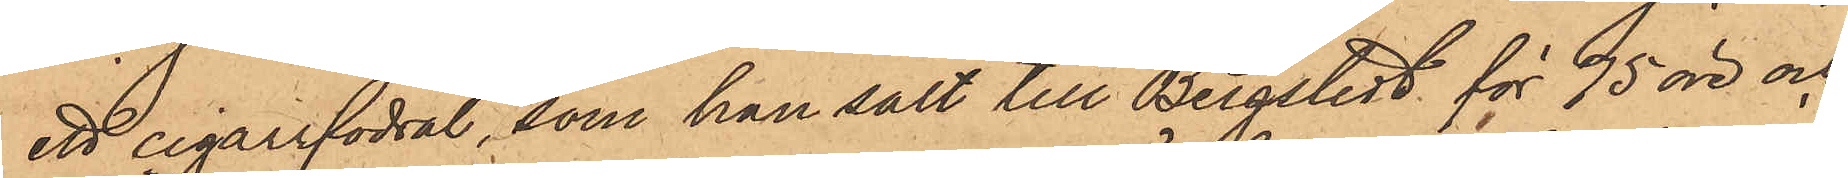ett cigarrfodral, som han sålt till Bergstedt för 75 öre och
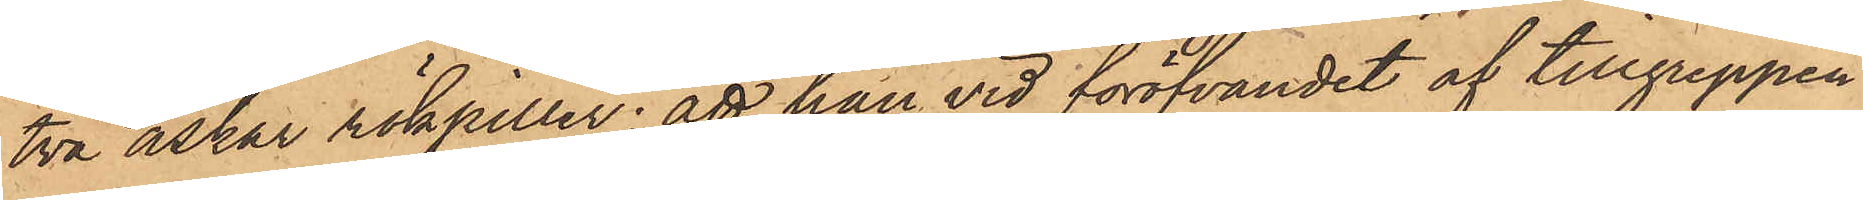två askar rökpiller; att han vid föröfvandet af tillgreppen
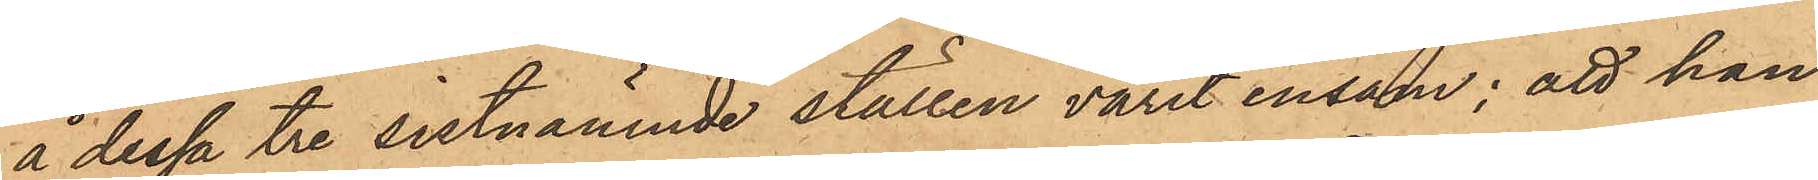å dessa tre sistnämnde ställen varit ensam; att han
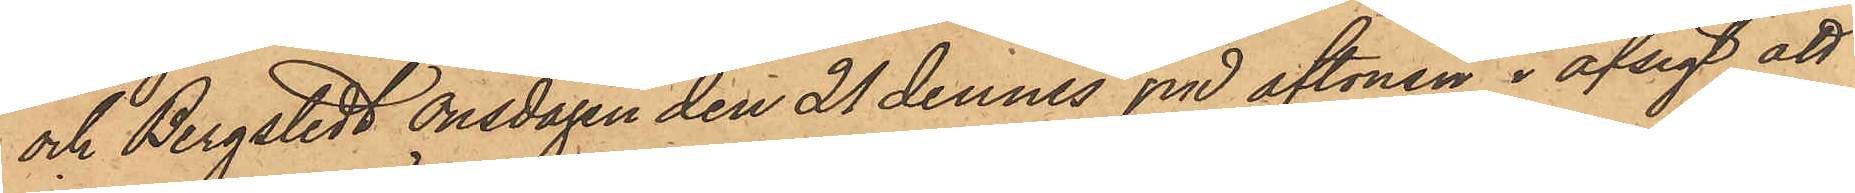och Bergstedt onsdagen den 21 dennes på aftonen i afsigt att
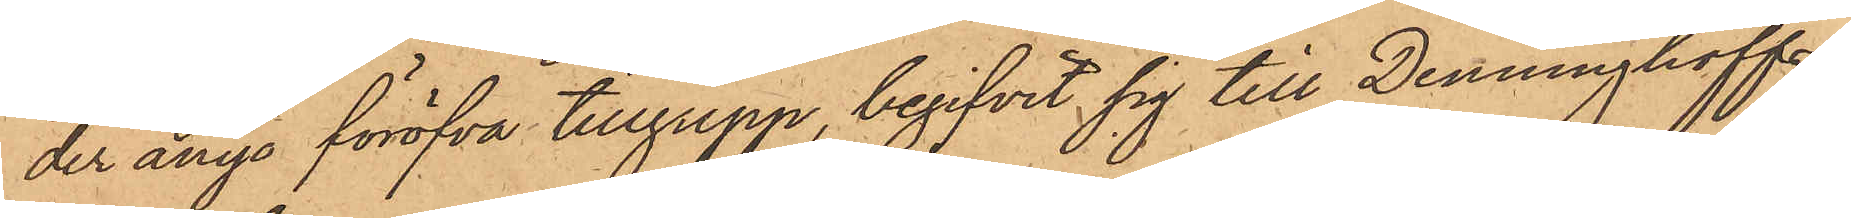der ånyo föröfva tillgrepp, begifvit sig till Denninghoffs
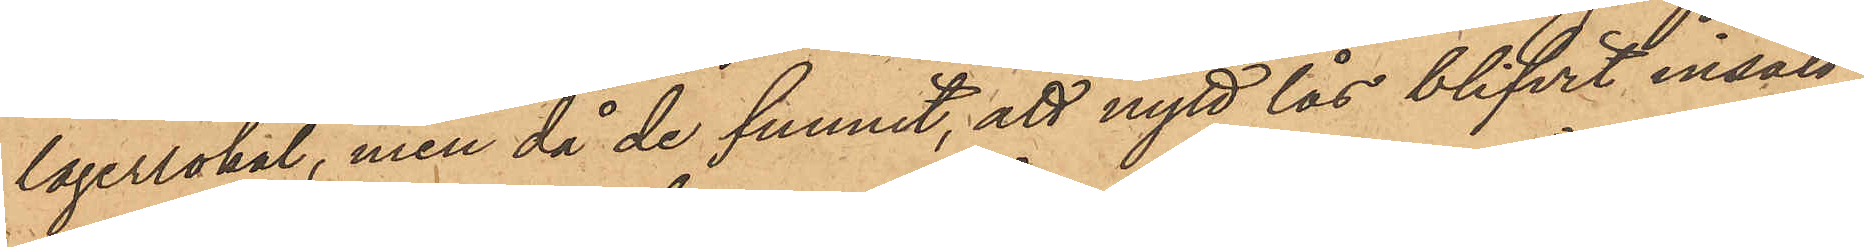lagerlokal, men då de funnit, att nytt lås blifvit insatt
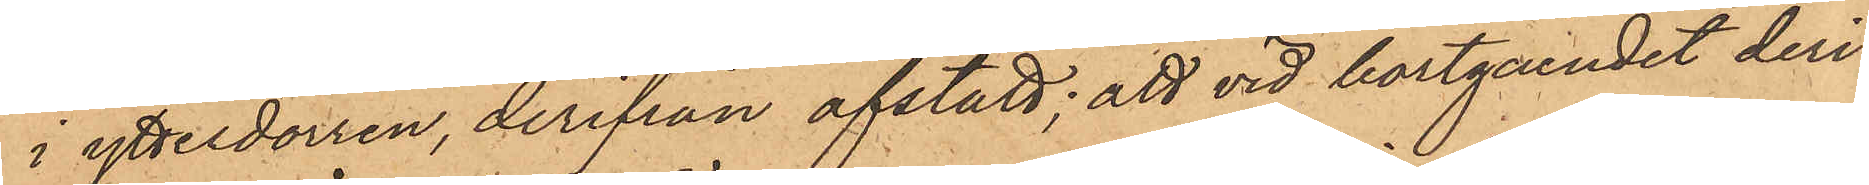i ytterdörren, derifrån afstått; att vid bortgåendet deri¬
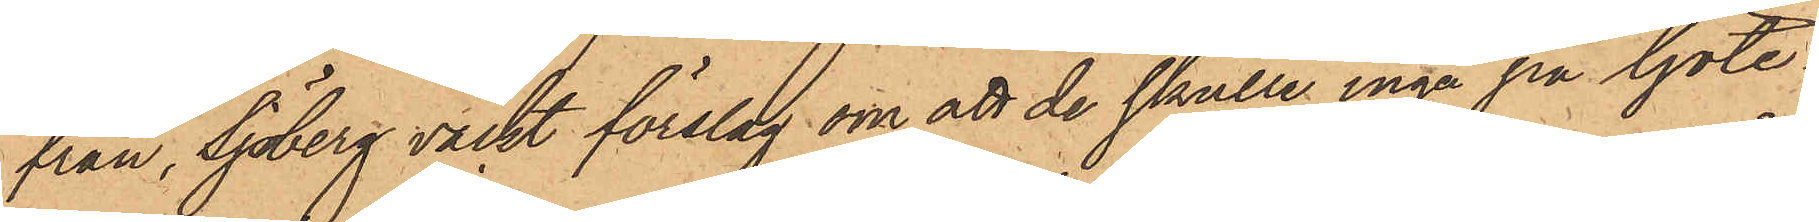från, Sjöberg väckt förslag om att de skulle ingå på Göte¬
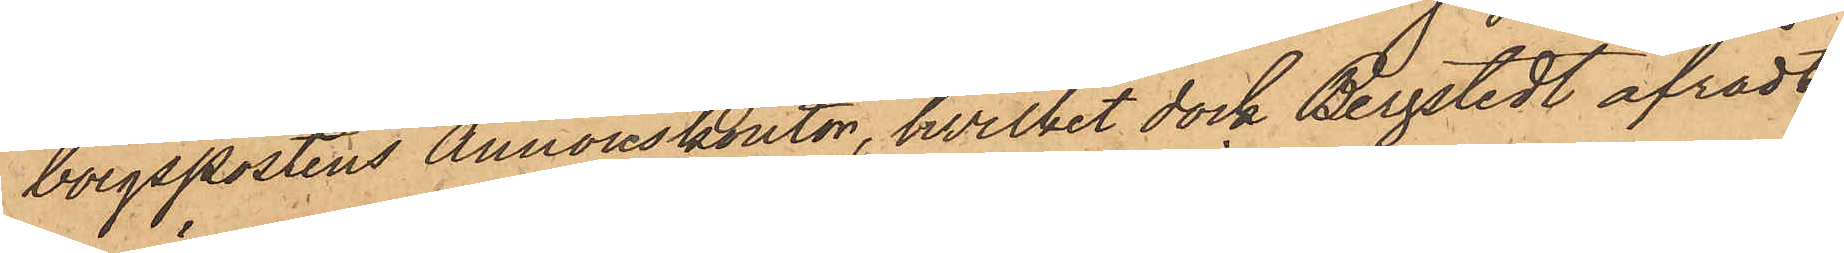borgspostens annonskontor, hvilket dock Bergstedt afrådt,
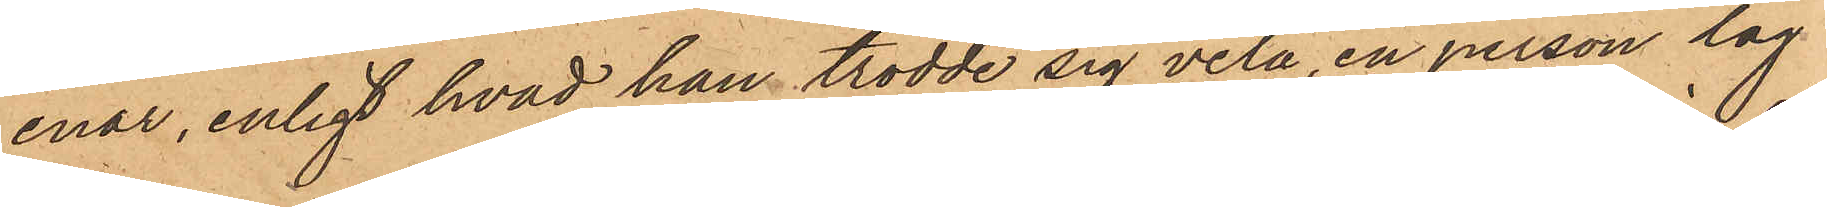enär, enligt hvad han trodde sig veta, en person låg
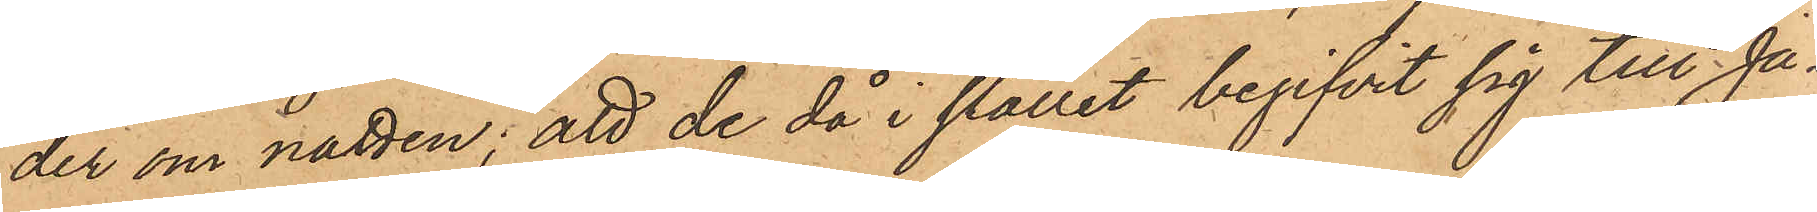der om natten; att de då i stället begifvit sig till Ja¬
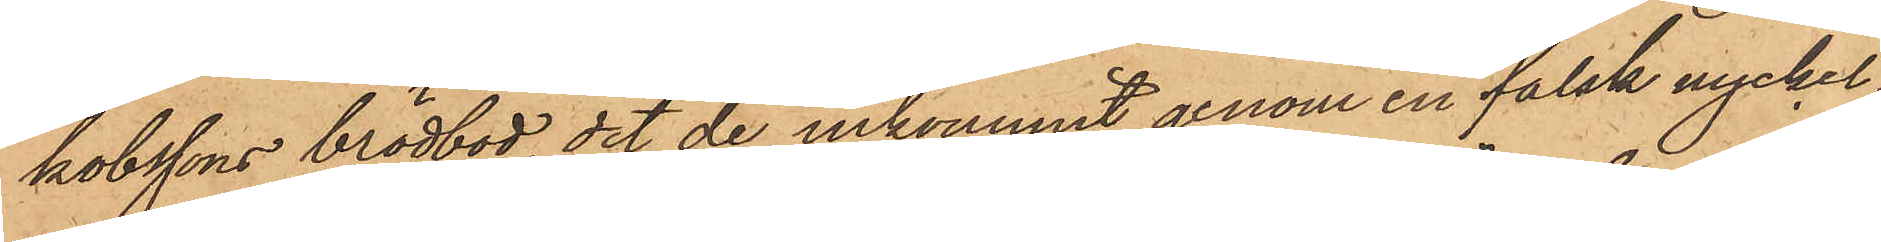kobssons brödbod, dit de inkommit genom en falsk nyckel
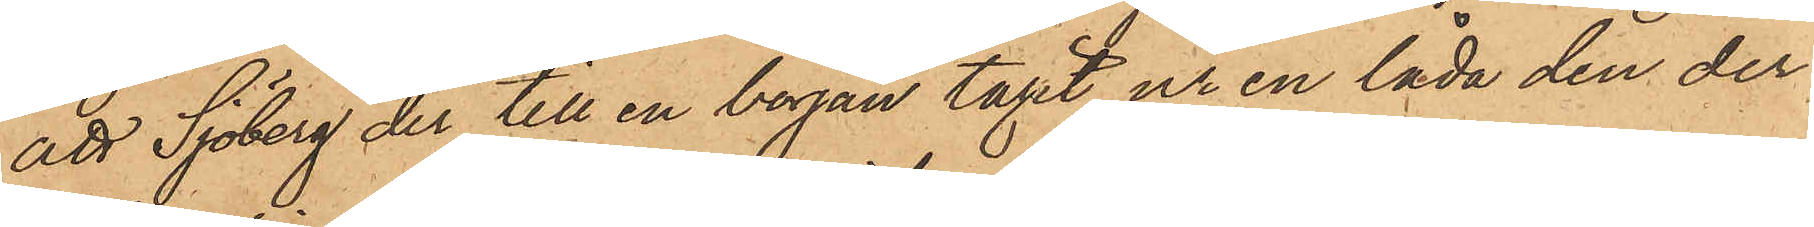att Sjöberg der till en början tagit ur en låda den der
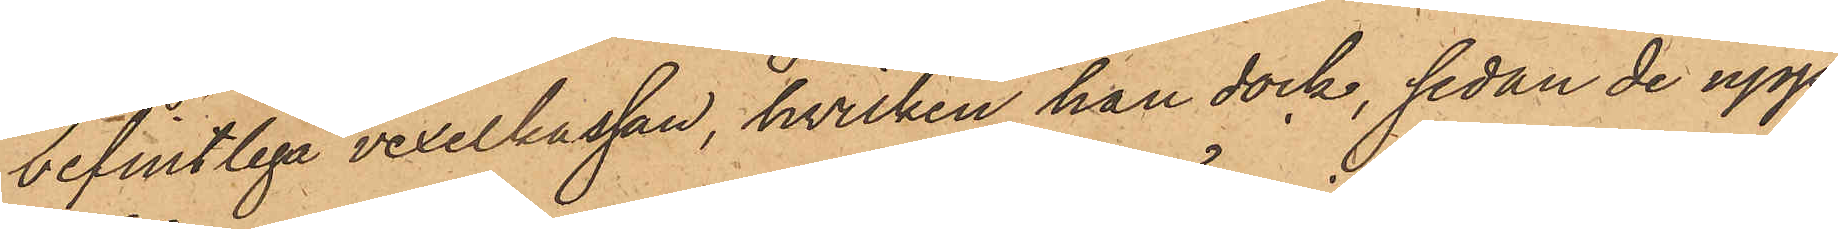befintliga vexelkassan, hvilken han dock, sedan de upp¬
